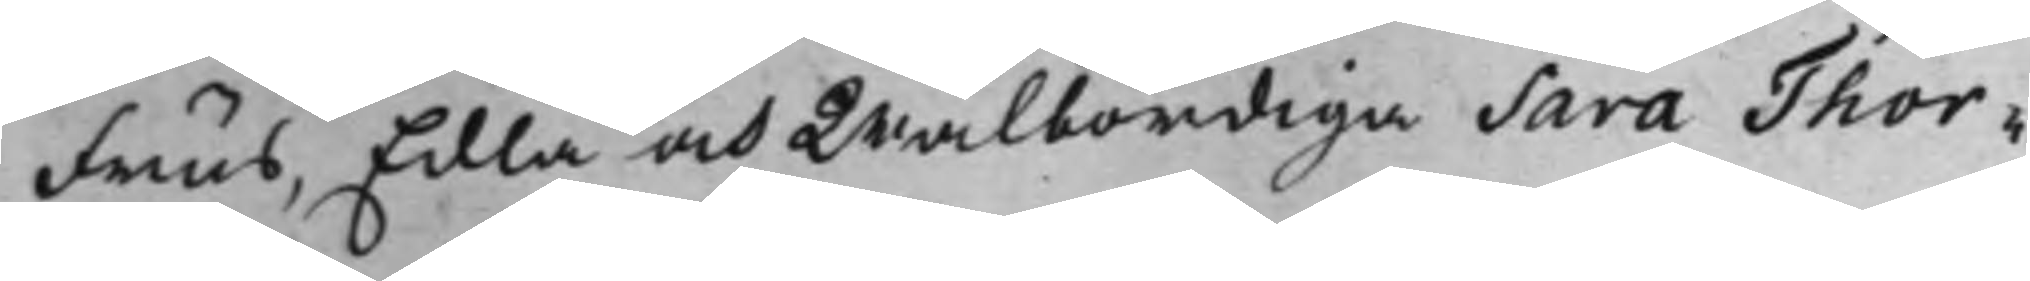Frus, Edla och Wälbördiga Sara Thor¬
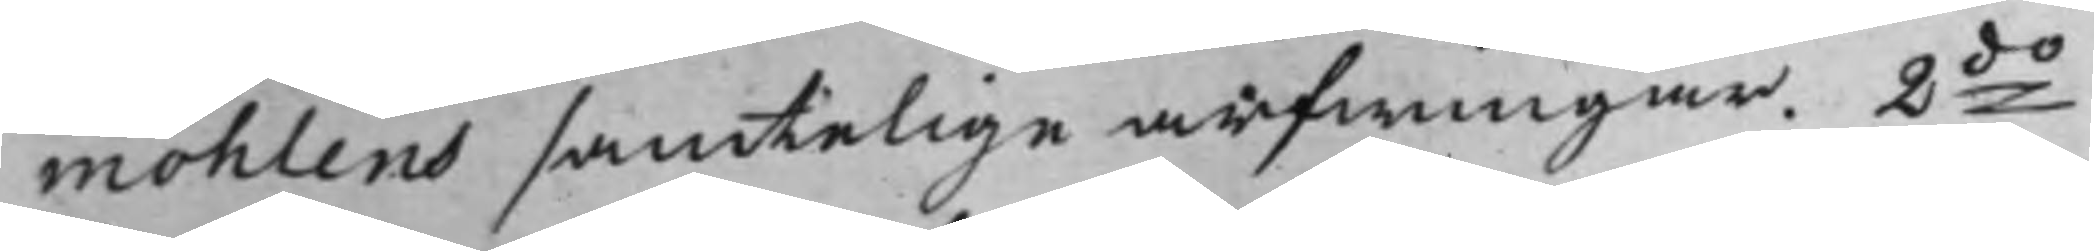möhlens samtelige arfwingar. 2do
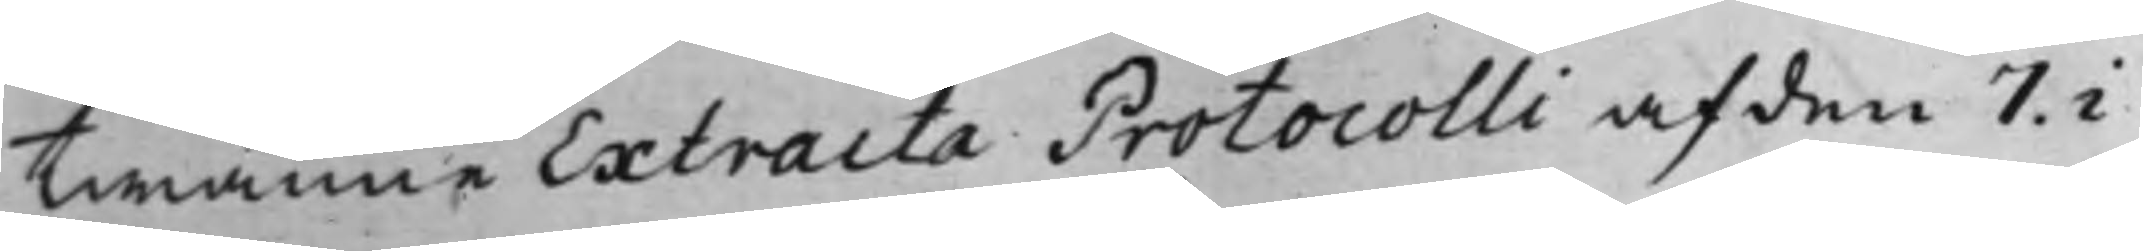twänne Extracta Protocolli af den 7. i
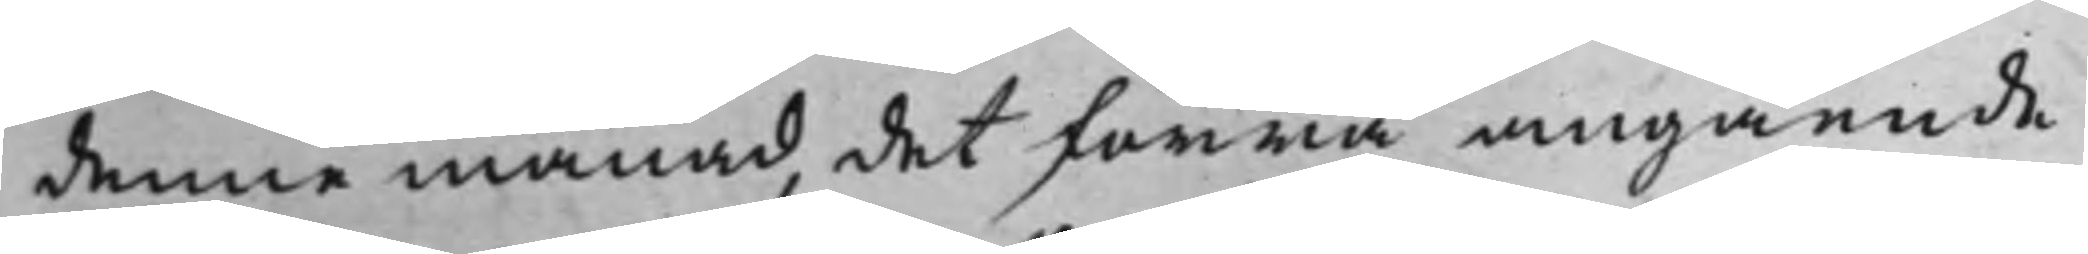denna månad, det förra angående
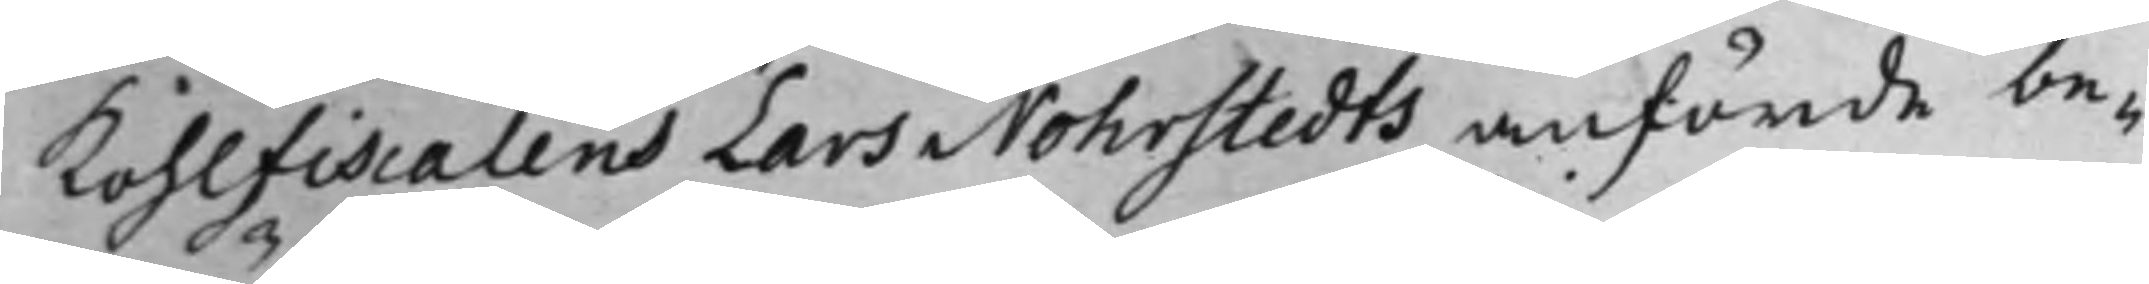Kohlfiscalens Lars Nohrstedts anförde be¬
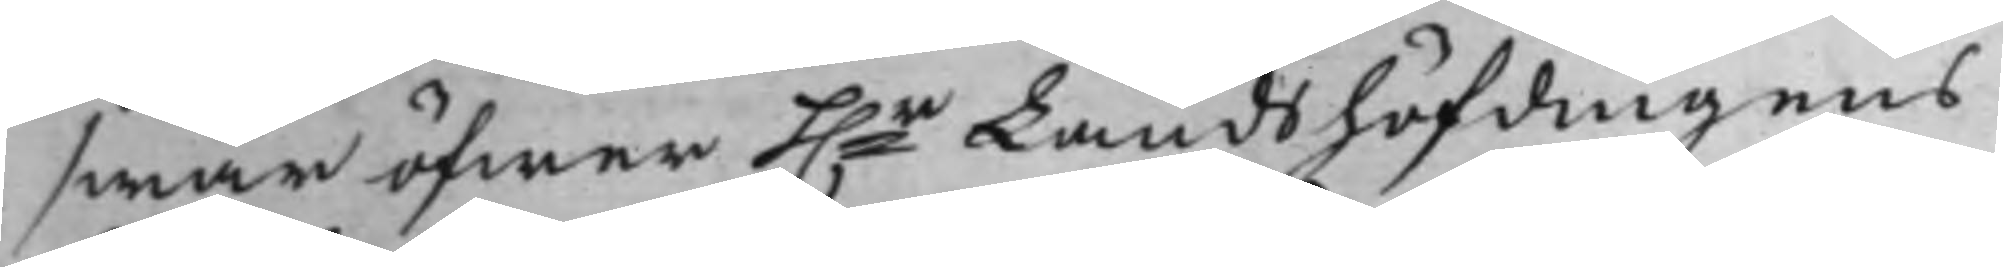swär öfwer h.r Landshöfdingens
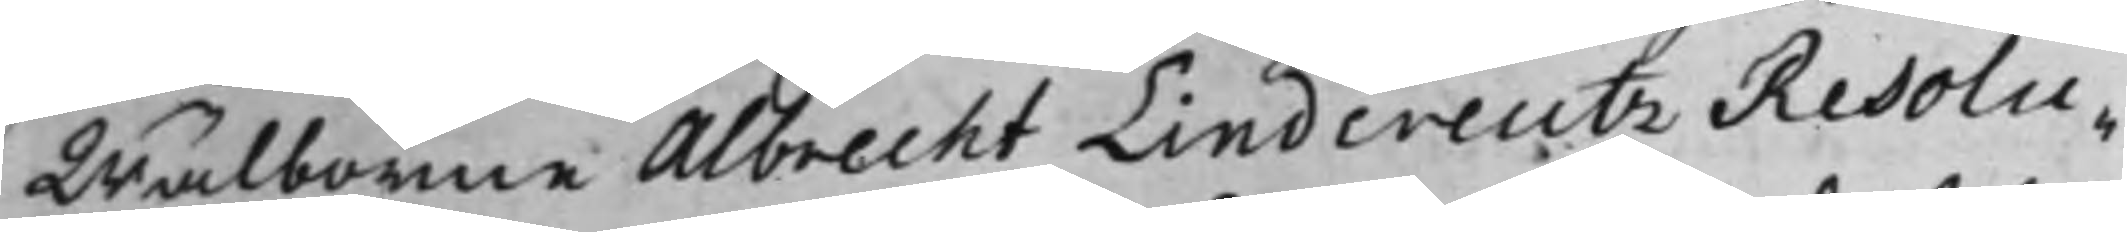Wälborne Albrecht Lindcreutz Resolu¬
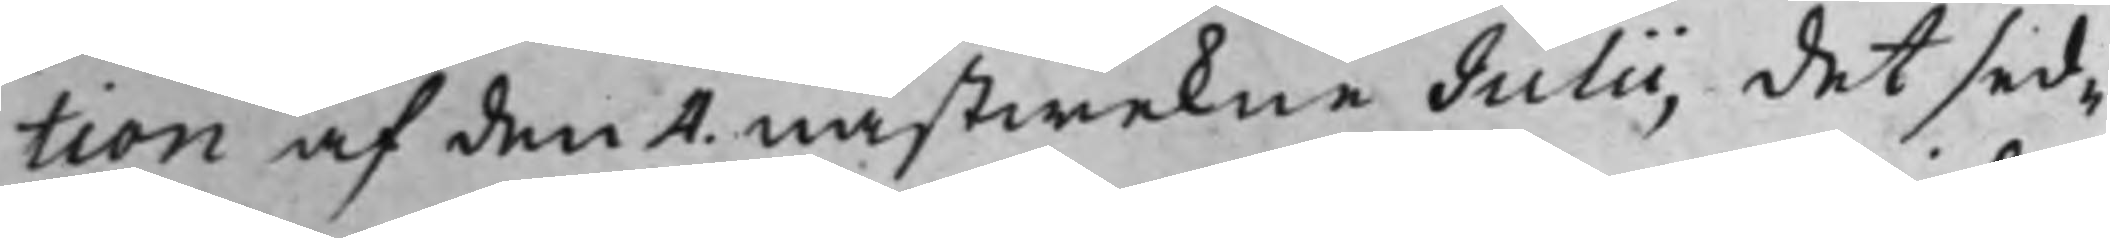tion af den 4. nästwekne Julii, det sed¬
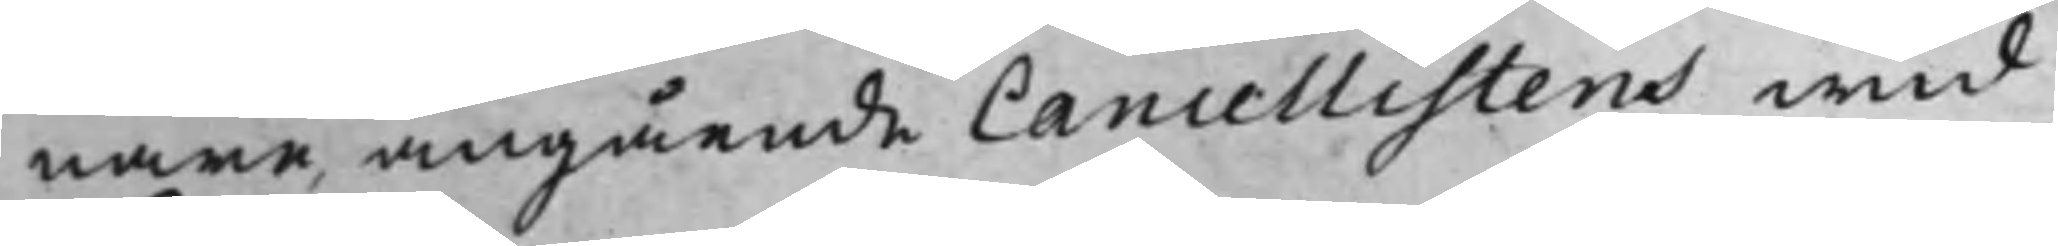nare, angående Cancellistens wid
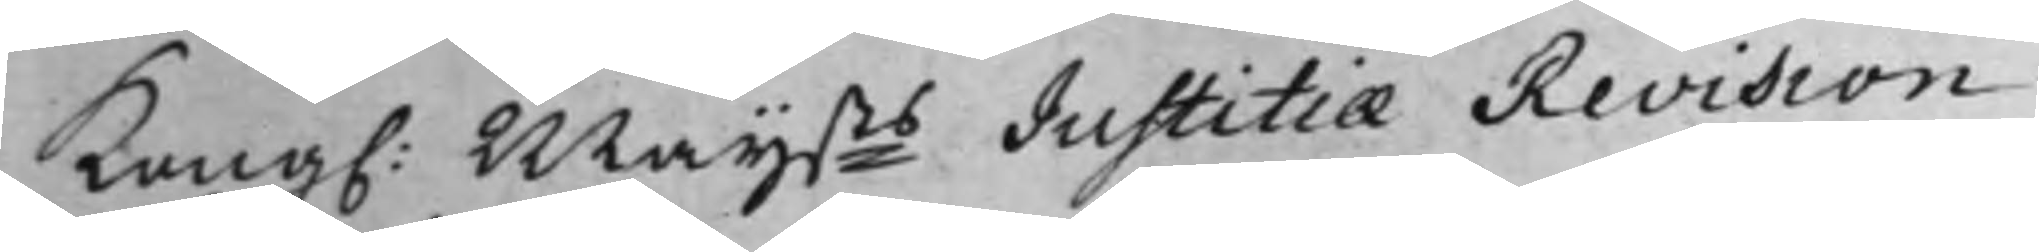Kong. Maijsts Justitiæ Revision
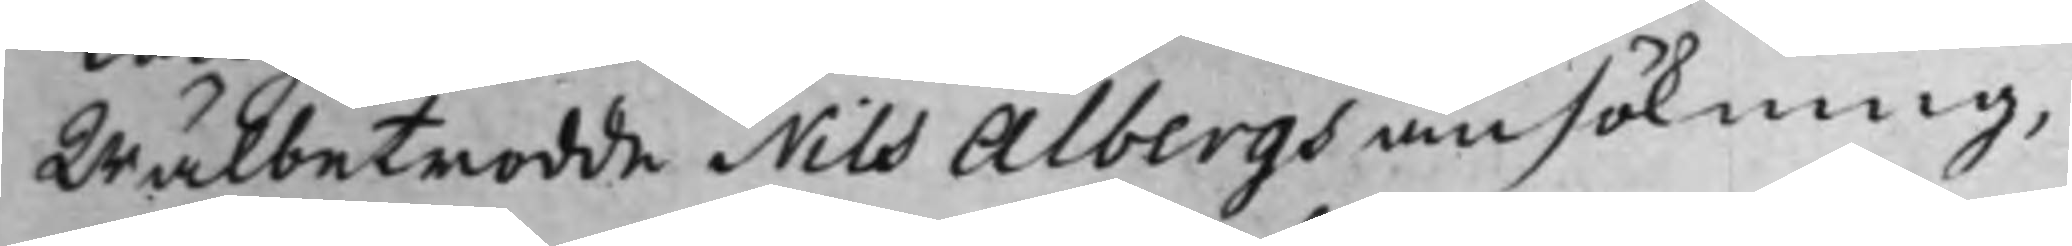Wälbetrodde Nils Albergs ansökning,
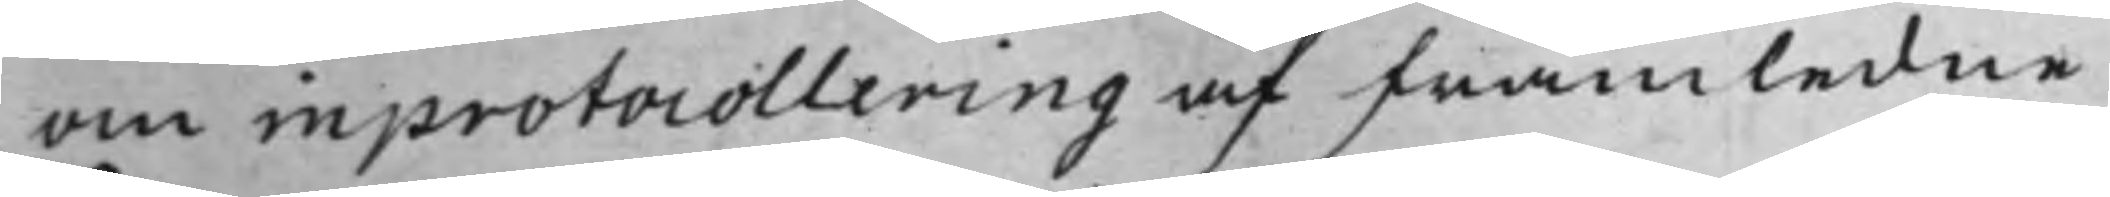om inprotocollering af framledne
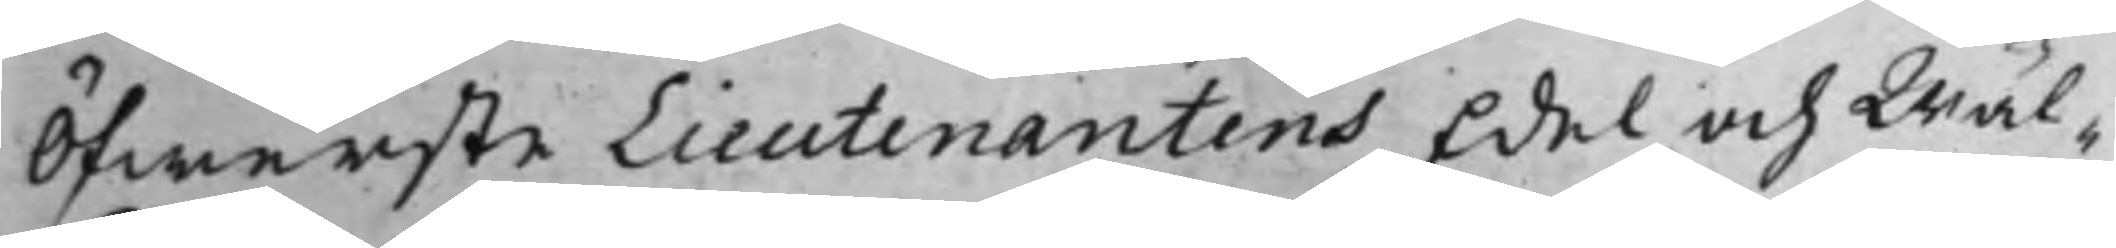Öfwerste Lieutenantens Edel och Wäl¬
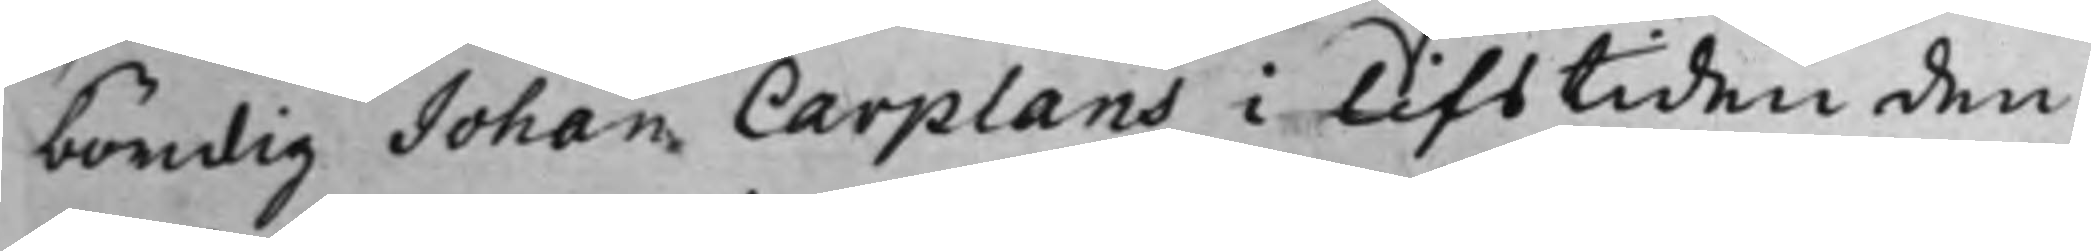bördig Johan Carplans i lifstiden den
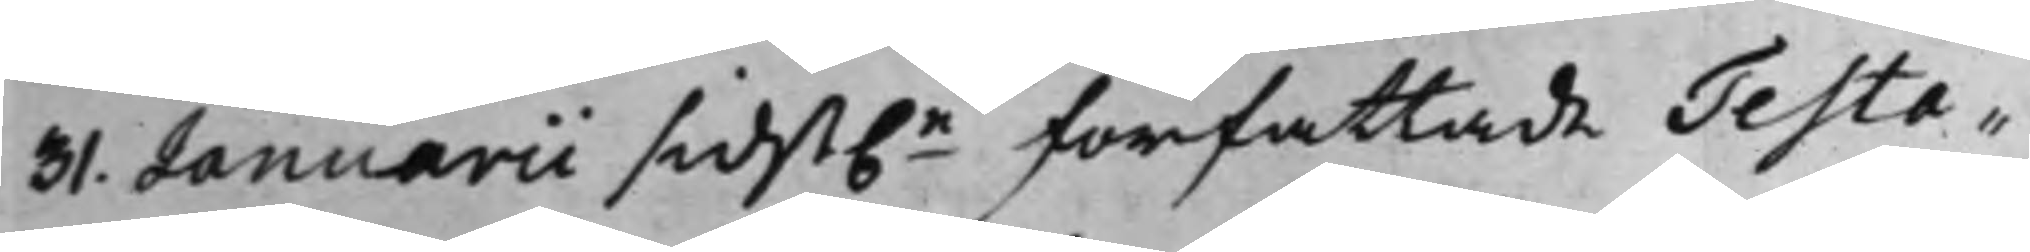31. Januarii sidst.e författade Testa¬
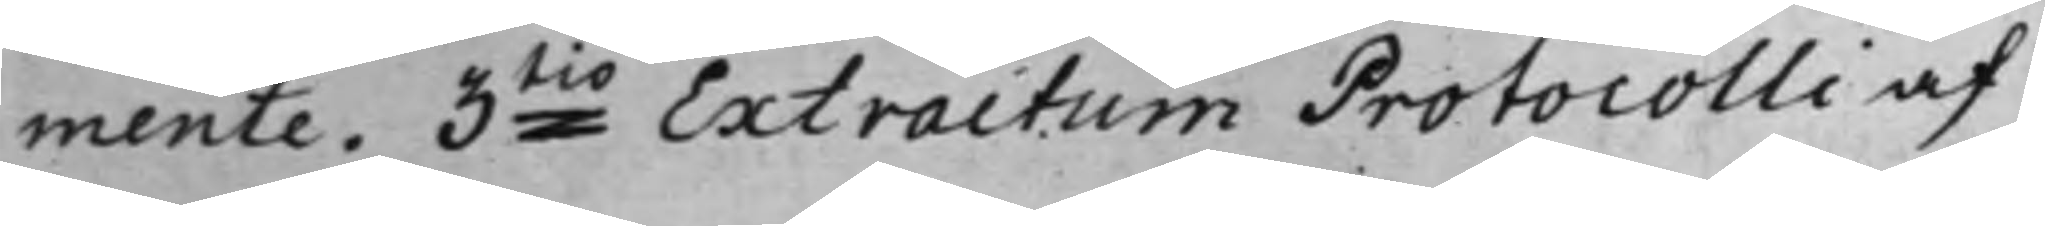mente. 3tio Extractum Protocolli af
